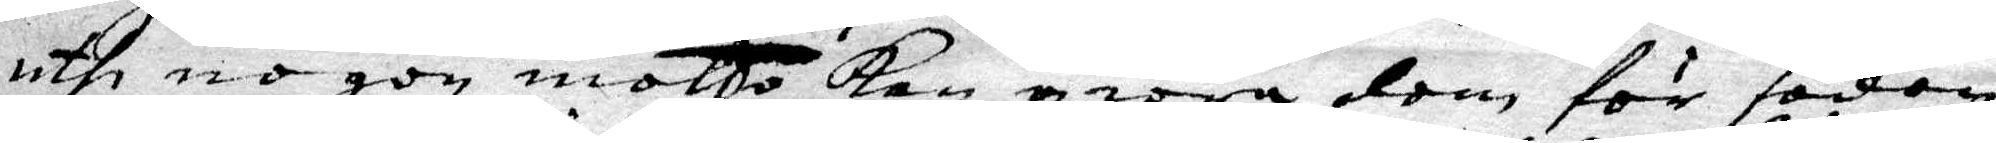uthi nogon motto kan giöra dom för sodon
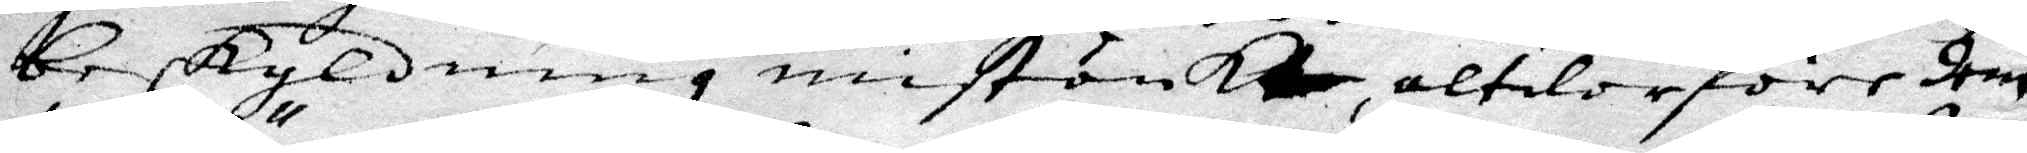beskyldning mistänkte, altelor före dom
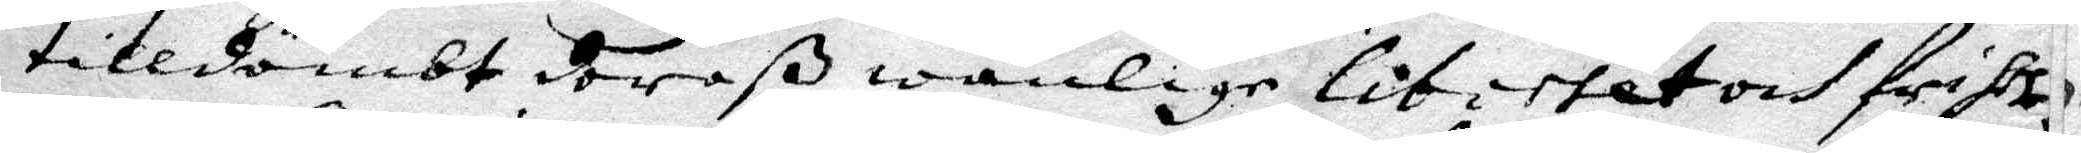tilldömbt deraß wanlige litittet och friske
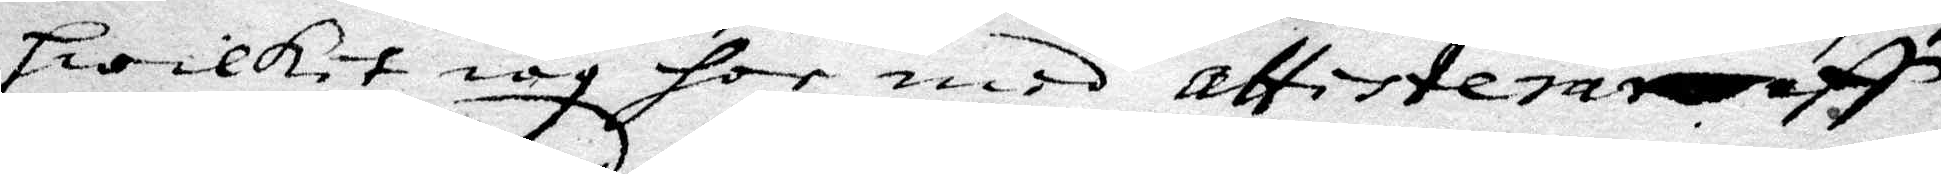Hwilket iag for med attisterar af
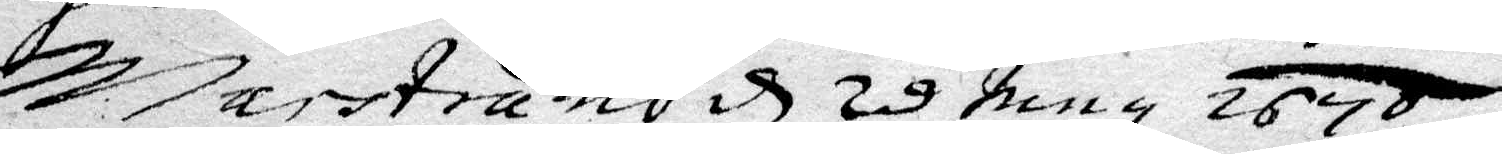Marstrand d 28 May 1670
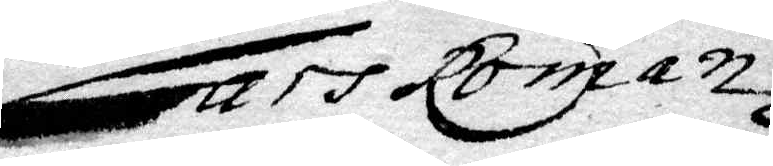Lars Roman
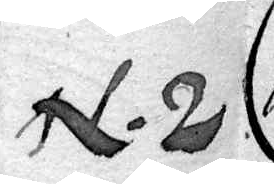N.2
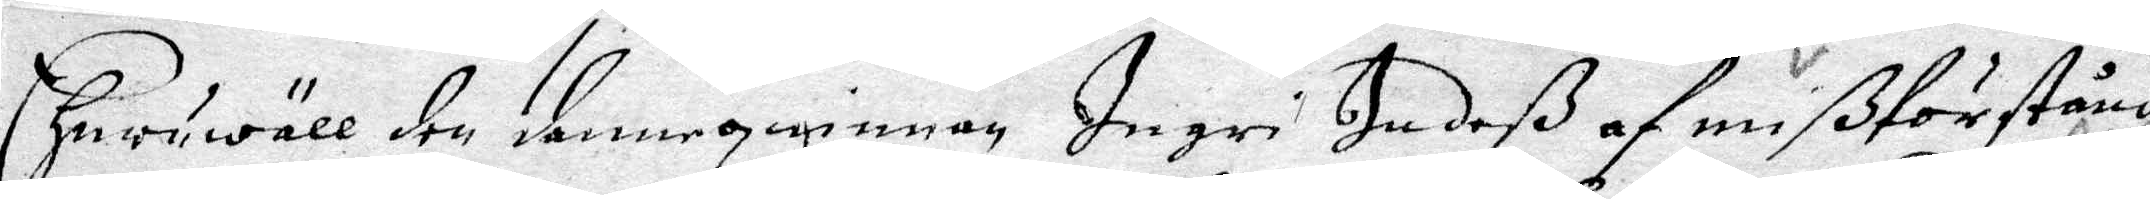Ehuruwäll den dannequinnan Ingri Judeß af mißförstånd
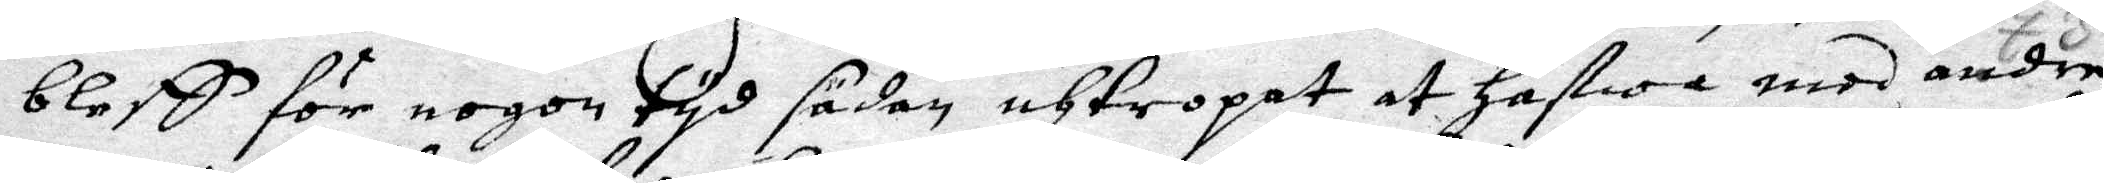bleff för nogon tyd sädan thtropat at Hafwa med andre
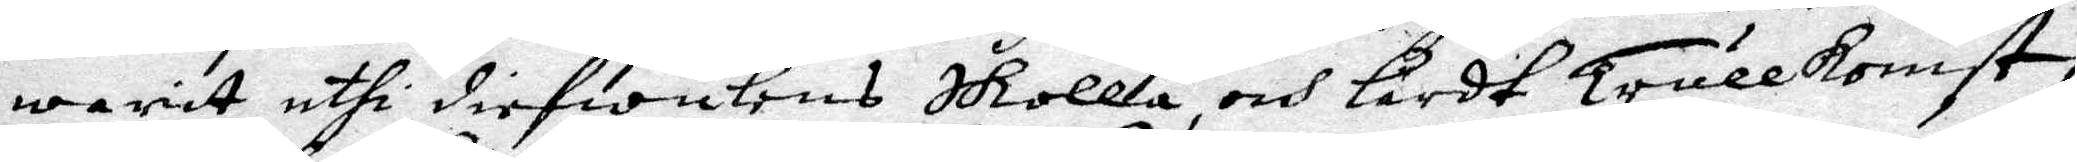warit uthi diefwulens Skolla och Lärdt Trullkonst
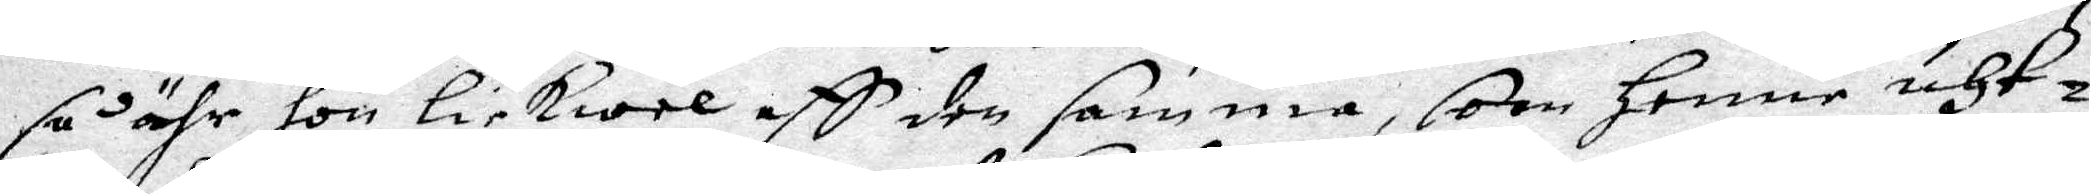så ähr hon Likewel aff den samma, som Henne uth¬
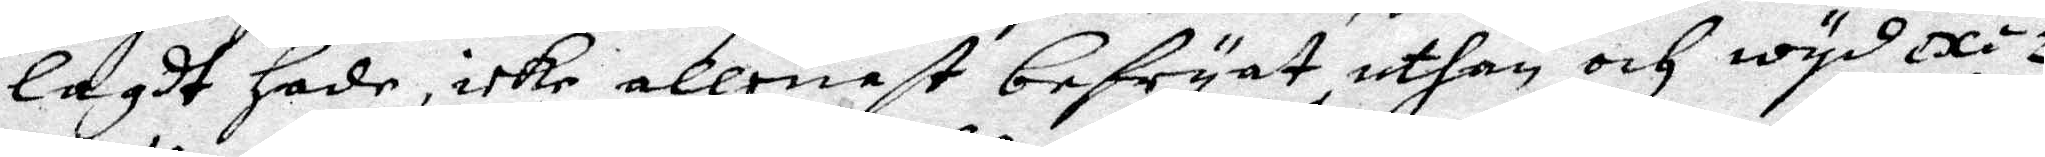Lagdt Hade, icke allenast befryat uthan och wyd exe¬
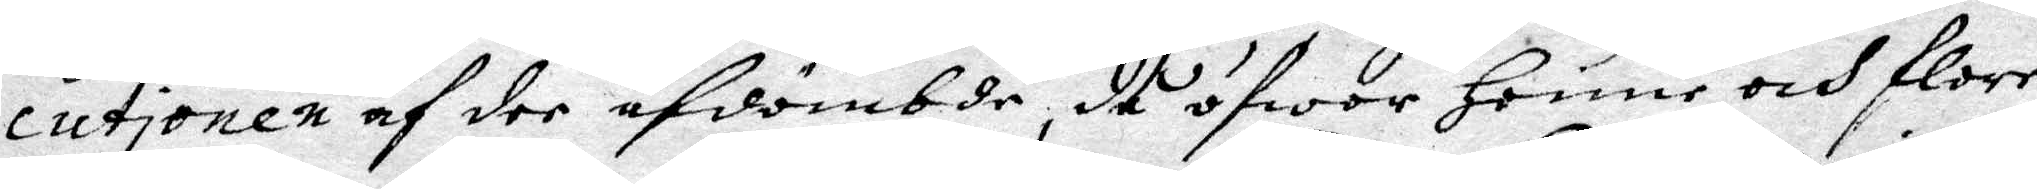cutionen af dee afdömbde, då öfwer Henne och flere
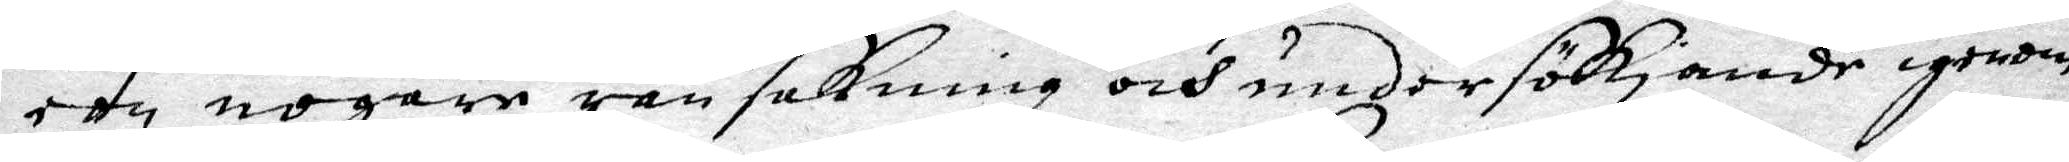een nogare ransakning och undersökiande igenom
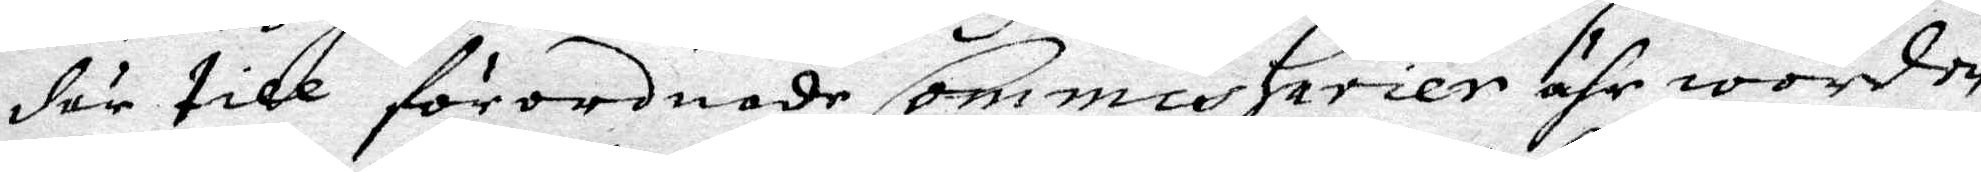där till förordnade Commissarier ähr worden
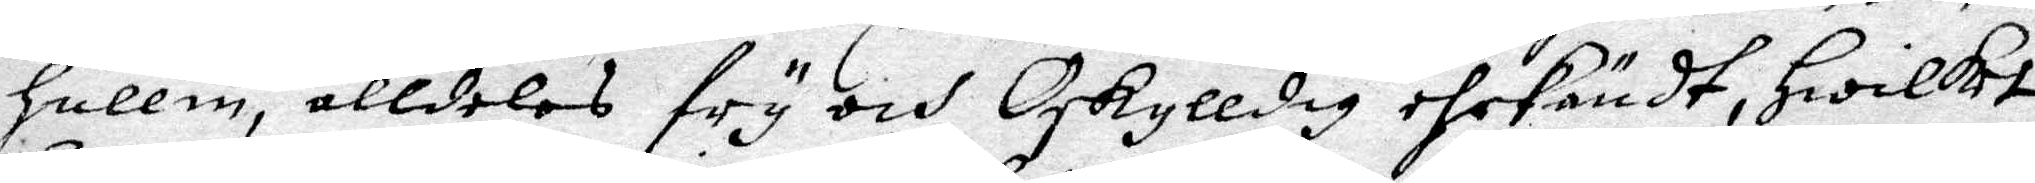Hullin, alldeles fry och Oskylldig ehrkändt, Hwilket
